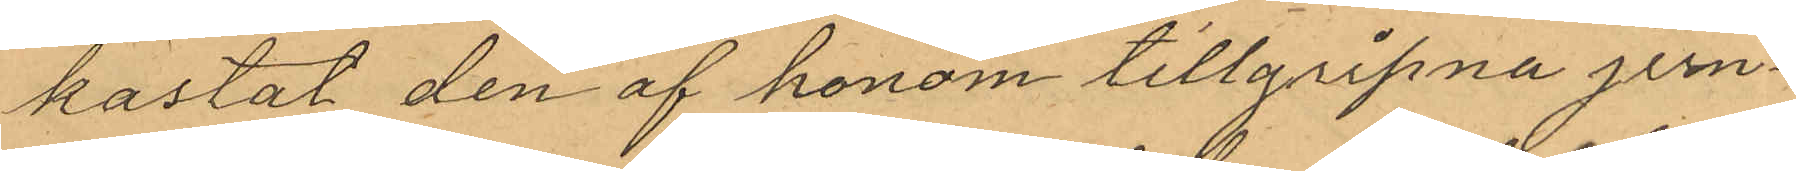kastat den af honom tillgripna jern¬
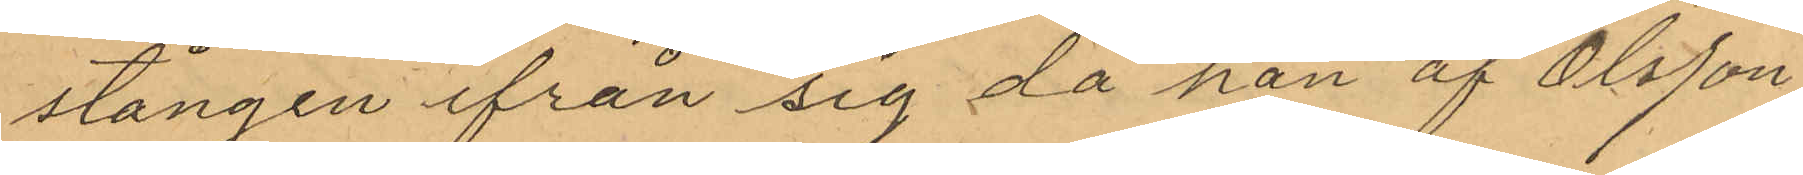stången ifrån sig då han af Olsson
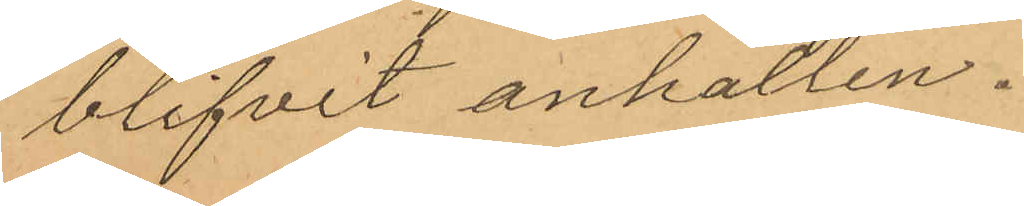blifvit anhållen.
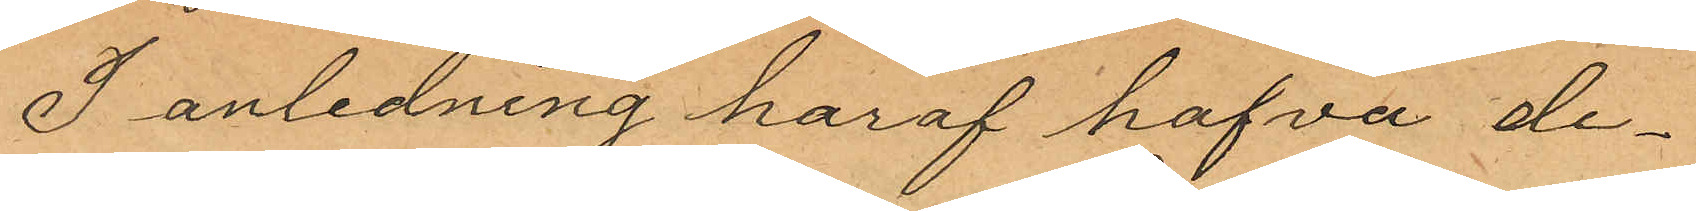I anledning haraf hafva de¬
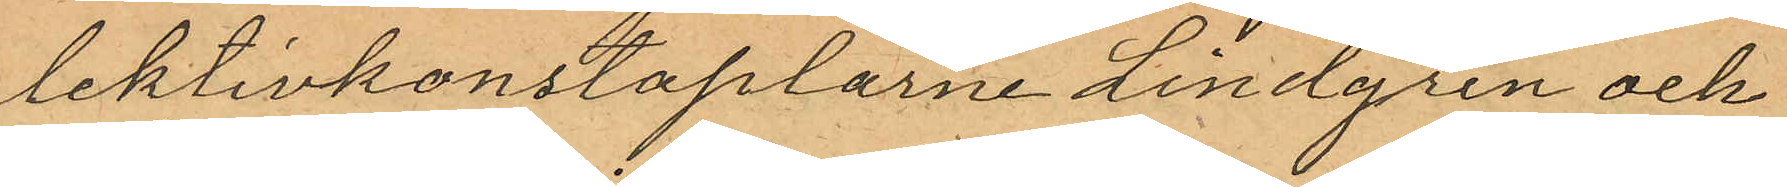lektivkonstaplarne Lindgren och
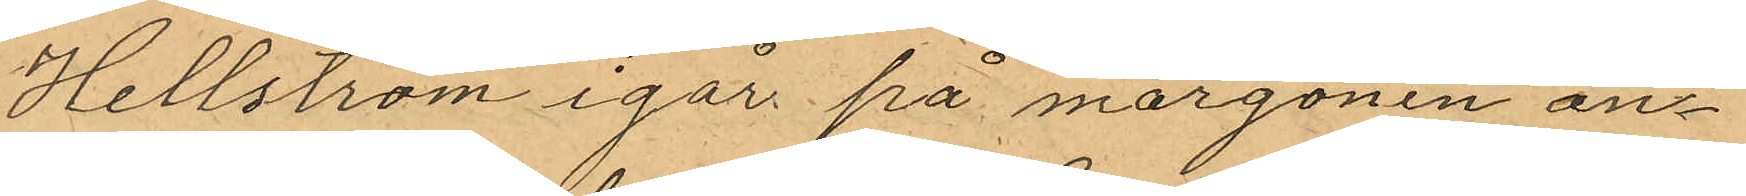Hellström igår på morgonen an¬
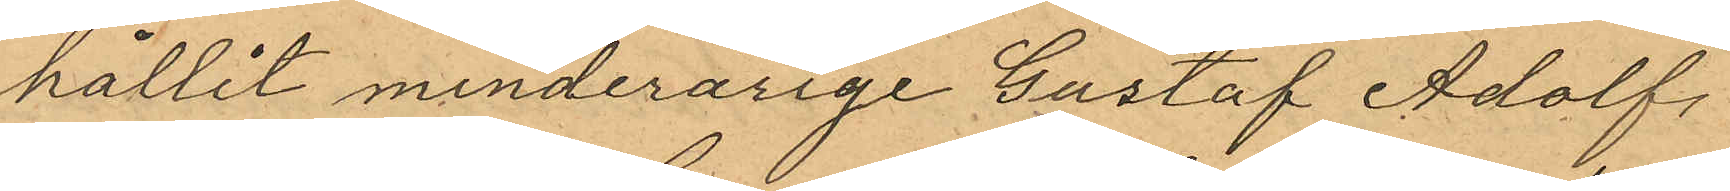hållit minderårige Gustaf Adolf
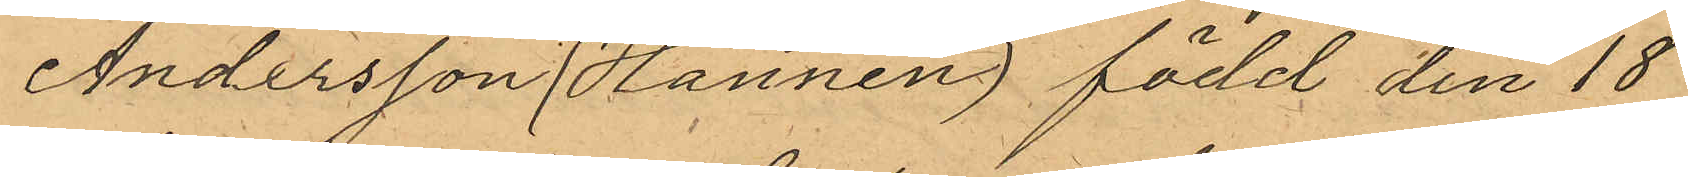Andersson (Hannen) född den 18
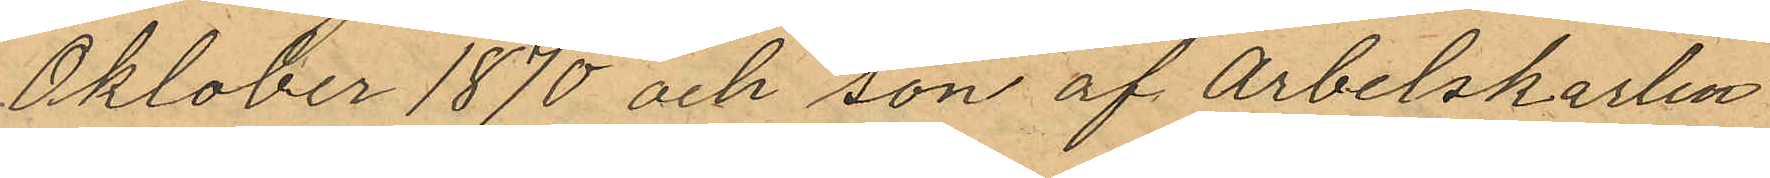Oklober 1870 och son af Arbetskarlen
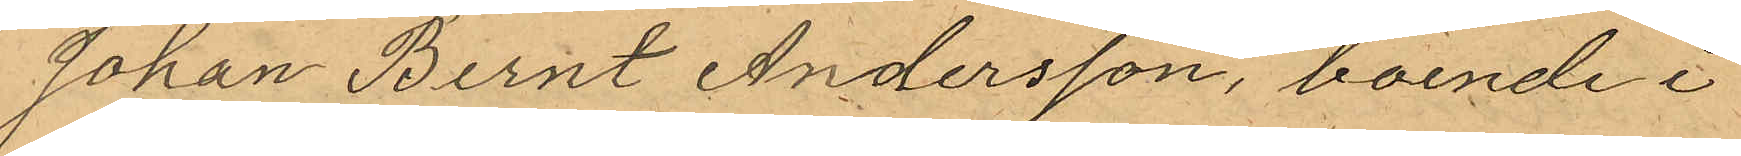Johan Bernt Andersson, boende i
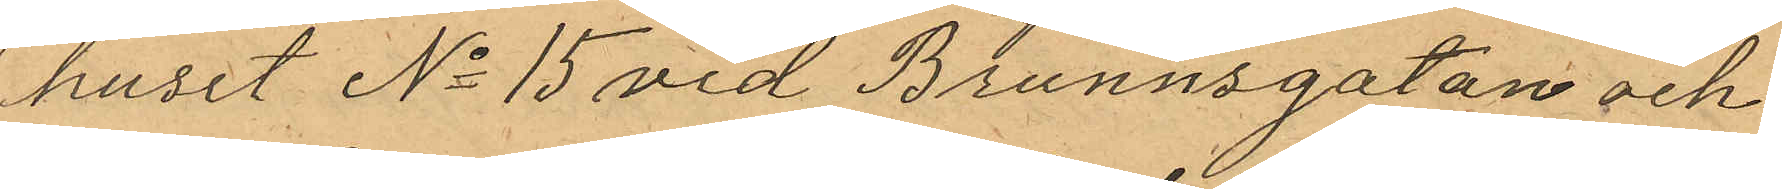huset No 15 vid Brunnsgatan och
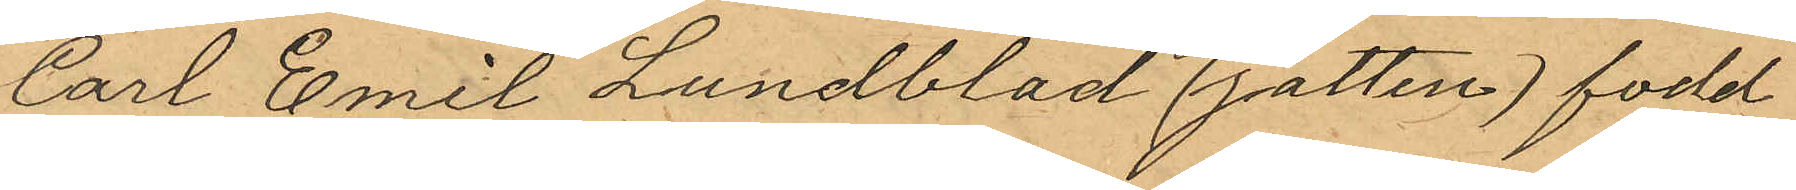Carl Emil Lundblad (jätten) fodd
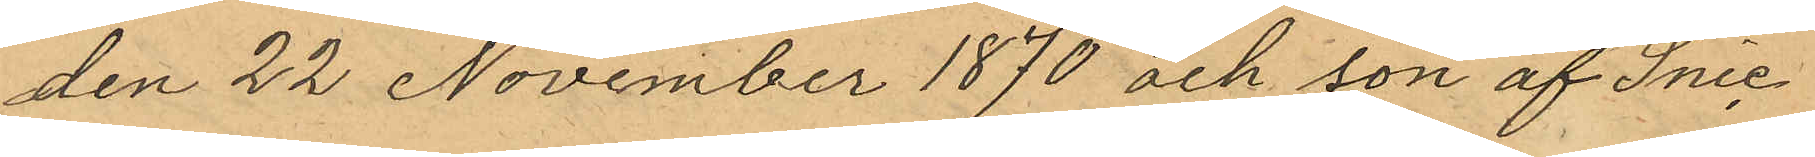den 22 November 1870 och son af Snic¬
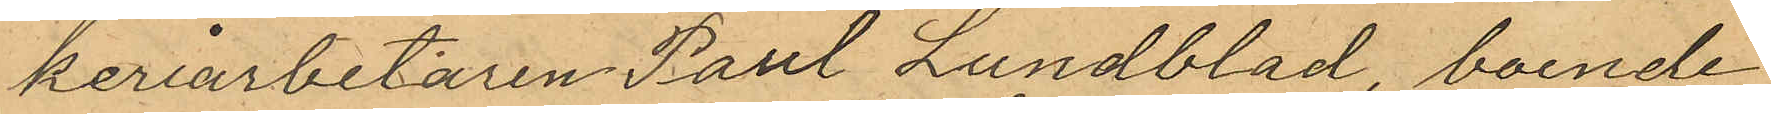keriarbetaren Paul Lundblad, boende
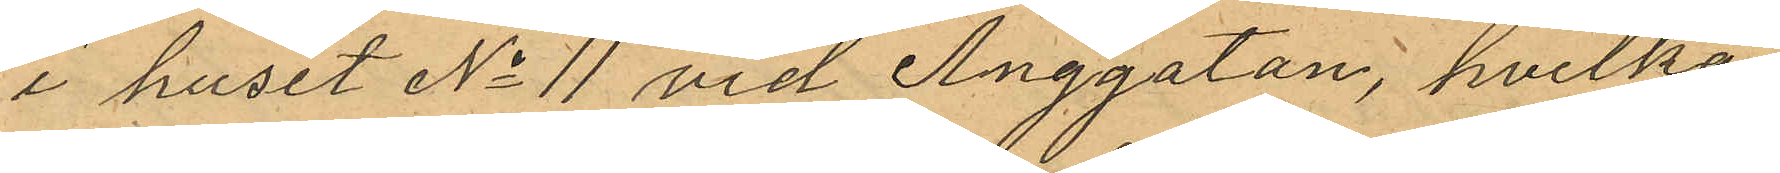i huset No 11 vid Änggatan, hvilka
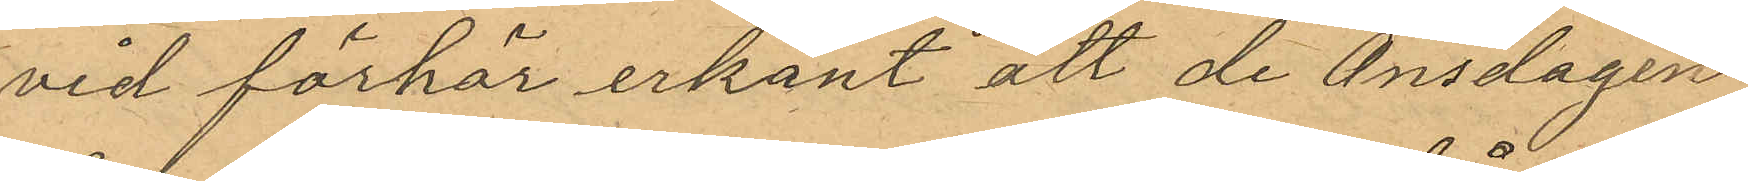vid förhör erkänt att de Onsdagen
